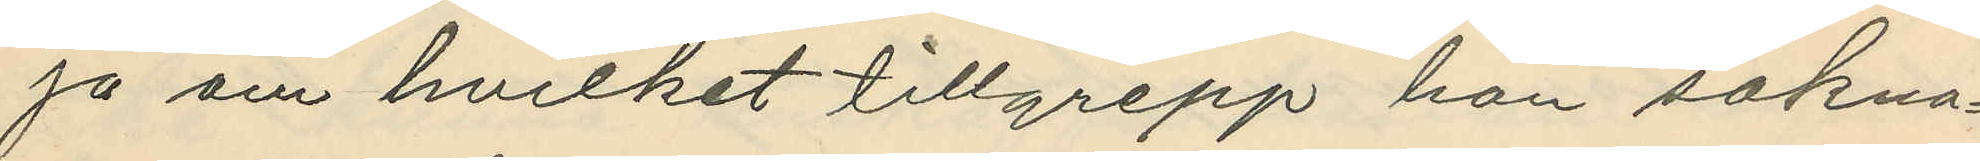ja om hvilket tillgrepp hon sakna¬
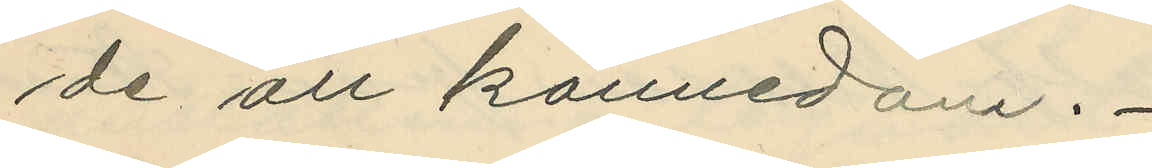de all kännedom.
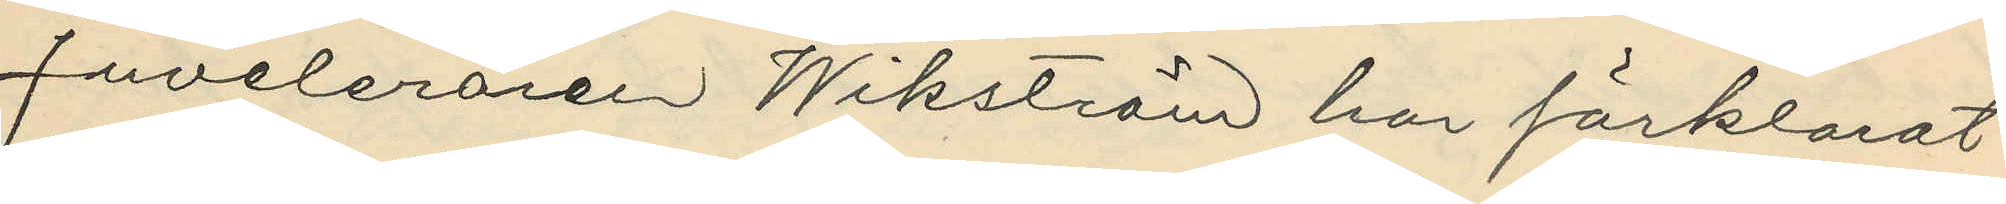Juveleraren Wikström har förklarat
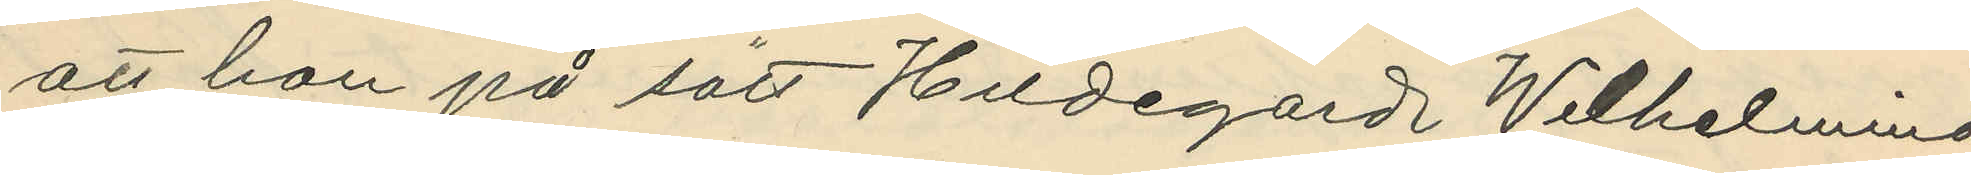att han på sätt Hildegard Wilhelmina
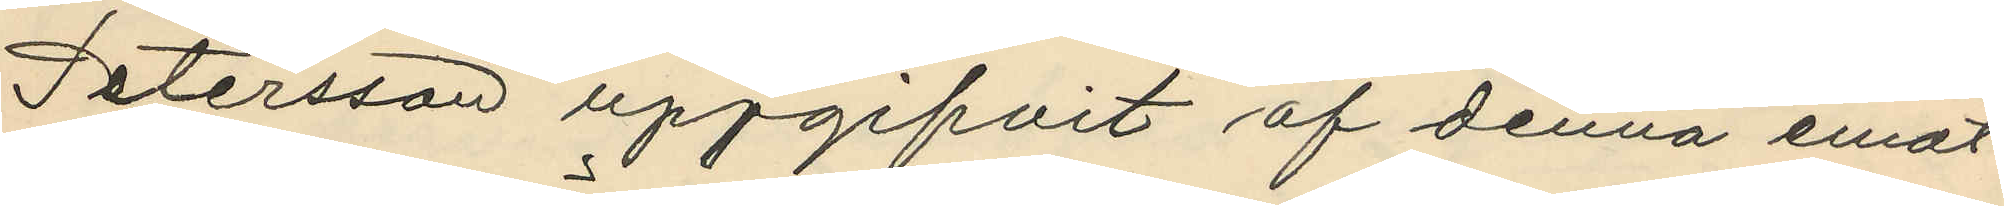Petersson uppgifvit af denna emot¬
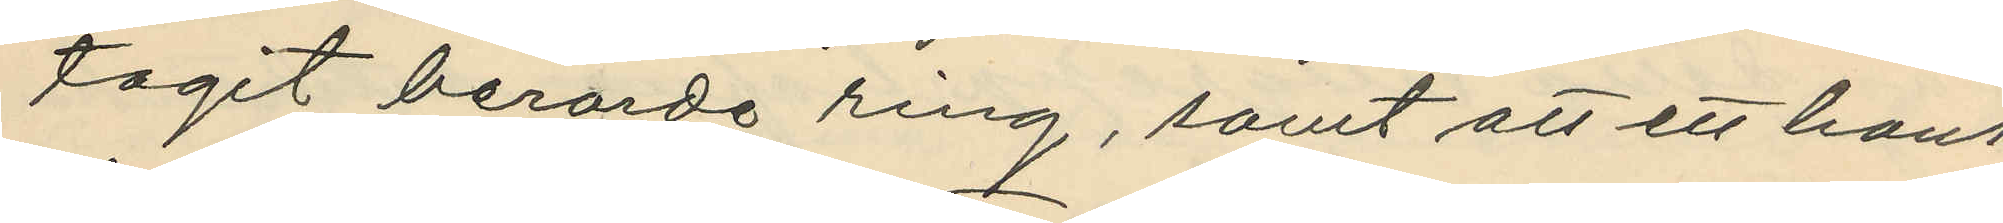tagit berörde ring, samt att ett hans
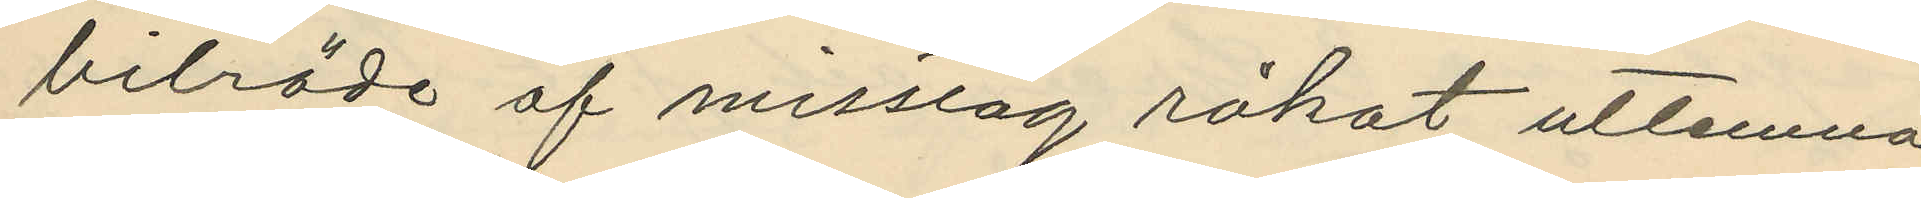biträde af misstag råkat utlemna
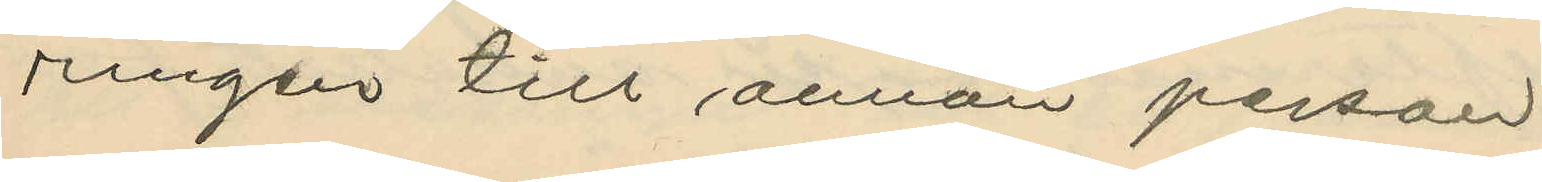ringen till annan person.
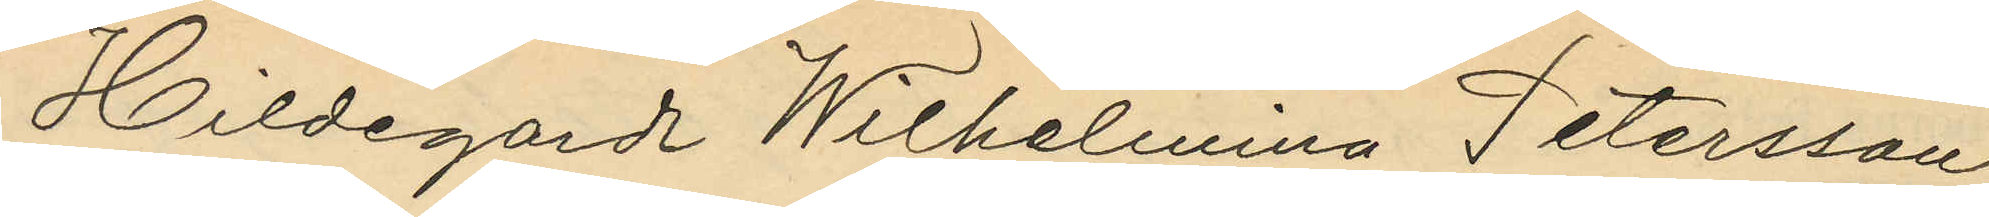Hildegard Wilhelmina Petersson
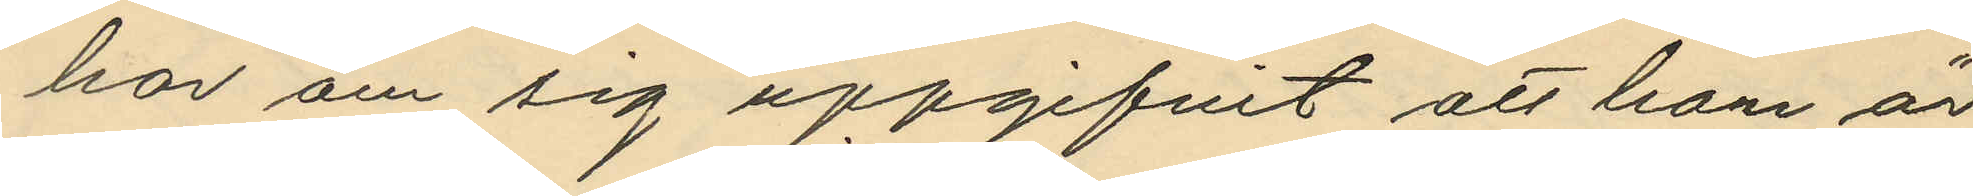har om sig uppgifvit att hon är
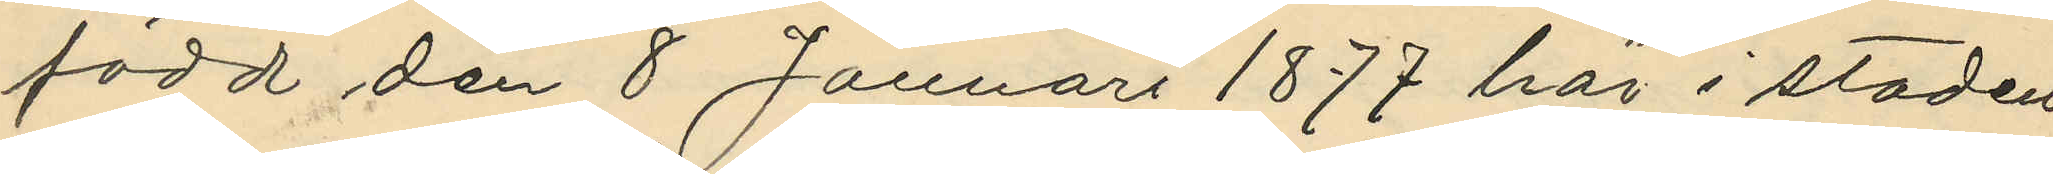född den 8 Januari 1877 här i staden
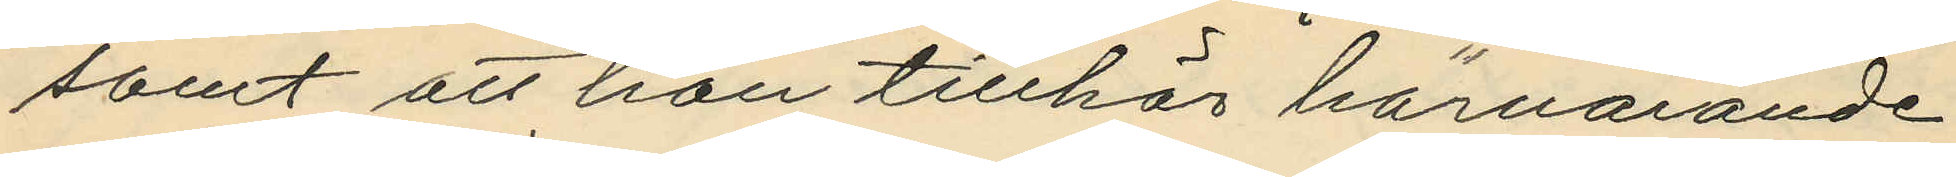samt att hon tillhör härvarande
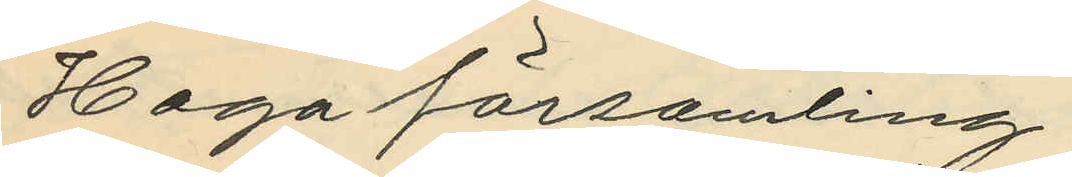Haga församling.
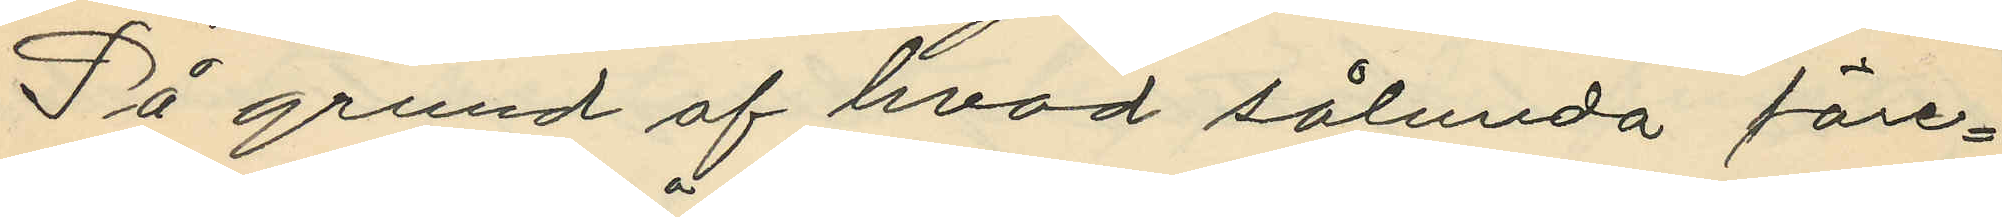På grund af hvad sålunda före¬
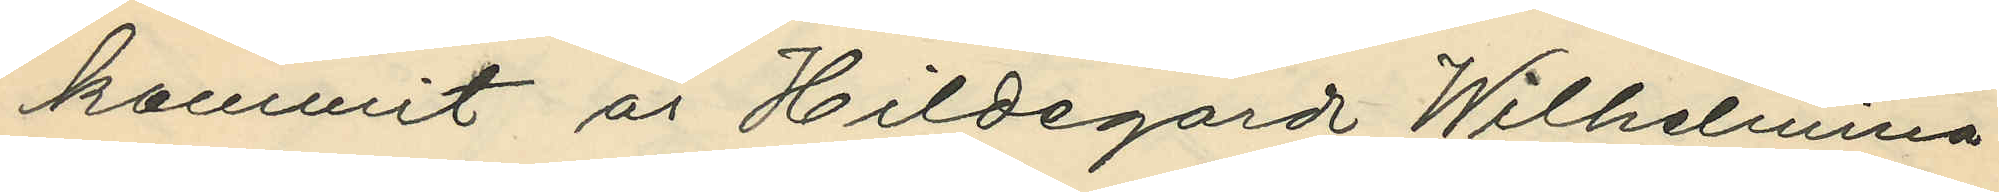kommit är Hildegard Wilhelmina
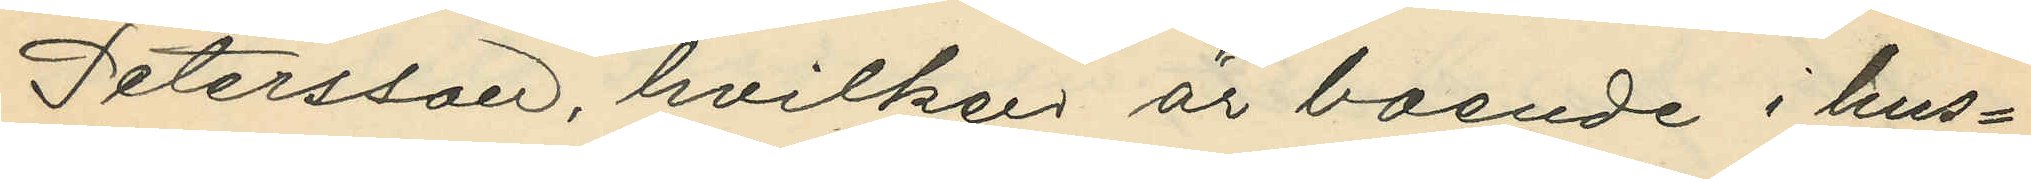Petersson, hvilken är boende i hus¬
